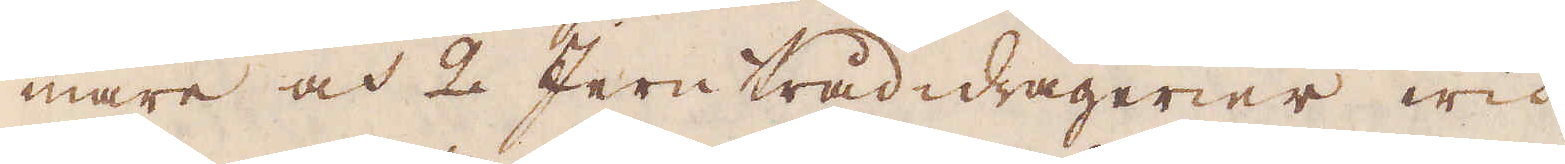mare och 2 Jerntråd-dragerier wid
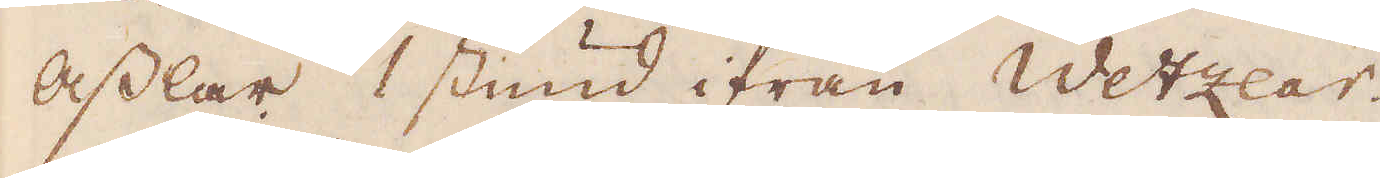Asslar 1 stund ifrån Wetzlar.
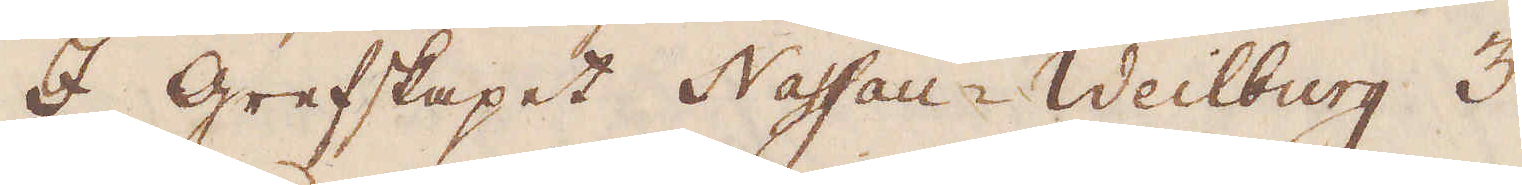I grefskapet Nassau-Weilburg 3
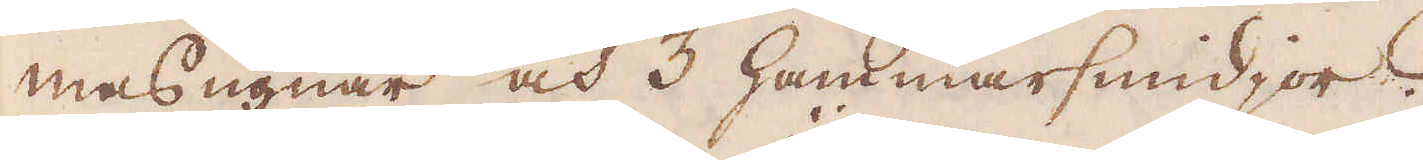masugnar och 3 hammarsmidjor.
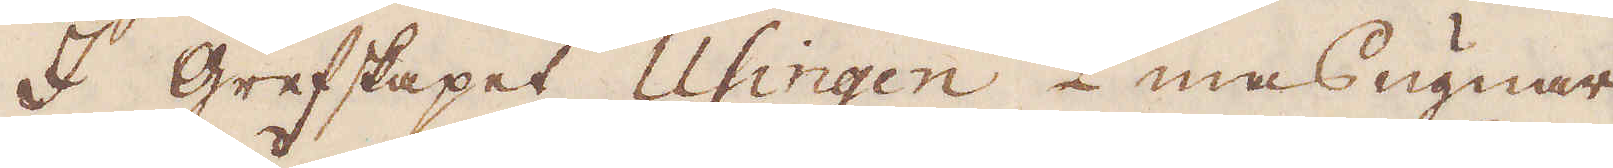I grefskapet Usingen 2 masugnar
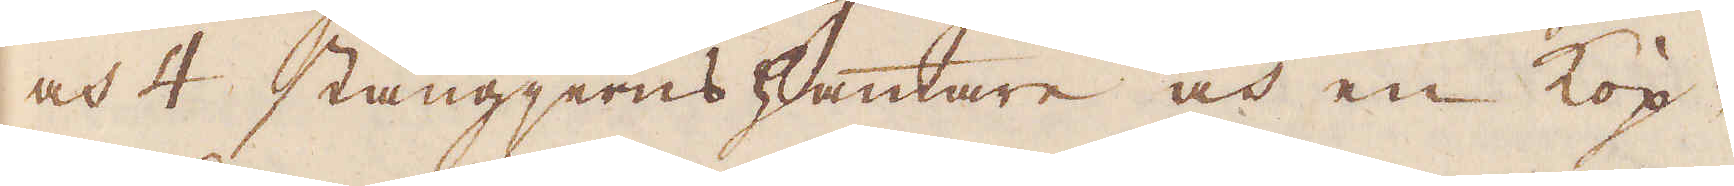och 4 stångjerns hammare och en Kop-
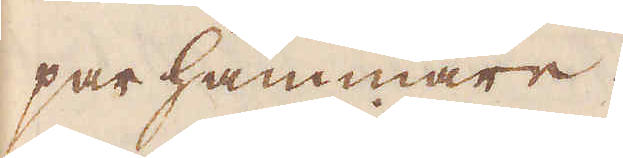parhammare.
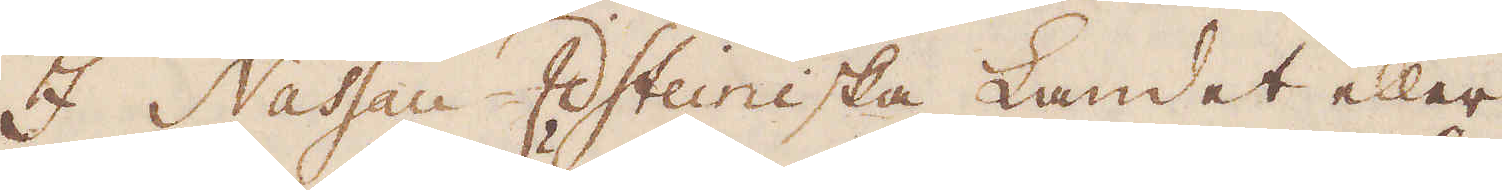I Nassau-Idsteiniska Landet eller
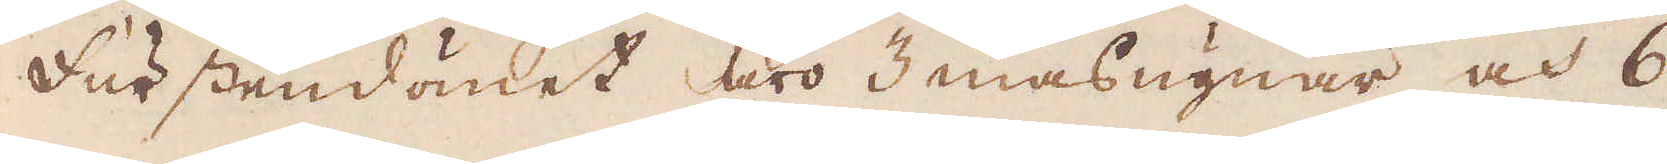Furstendömet äro 3 masugnar, och 6
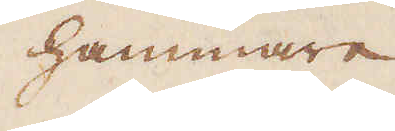hammare
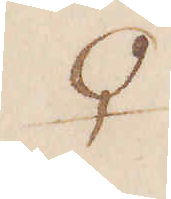♀
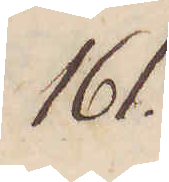161.
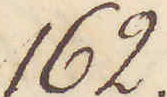162.
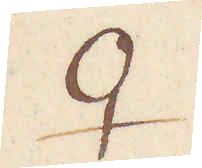♀
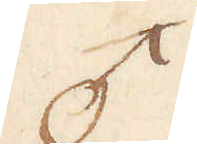♂
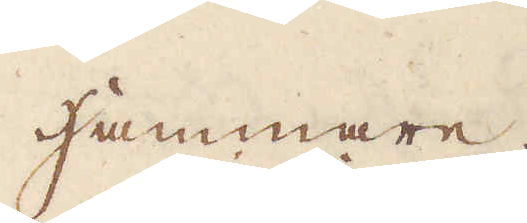Hammare.
